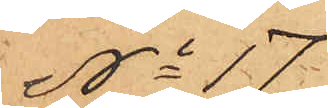No 17.
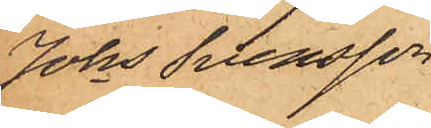Johs Svensson
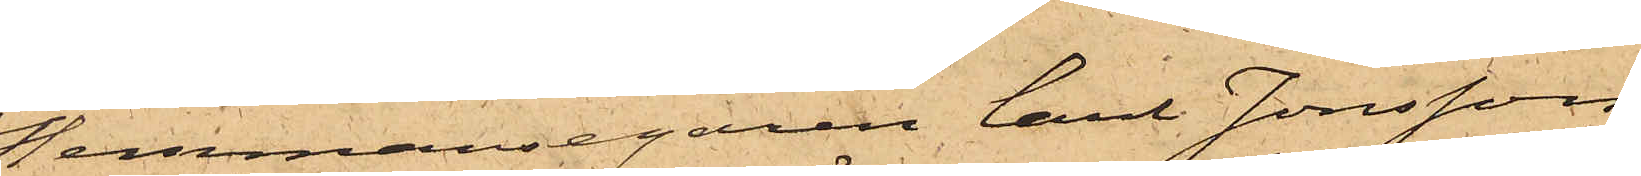Hemmansegaren Carl Jonsson
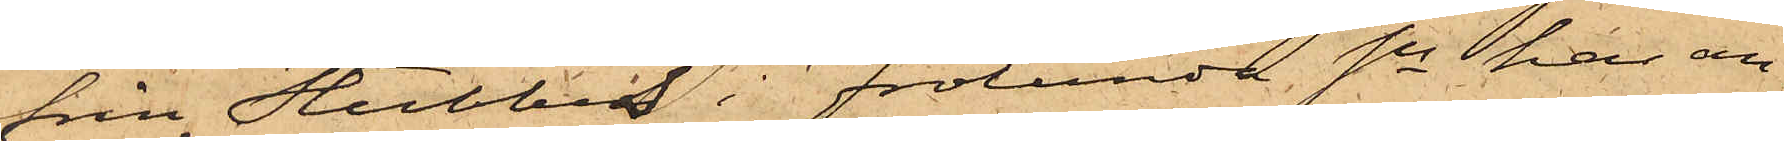från Stubbes i Frölunda Sn har an¬
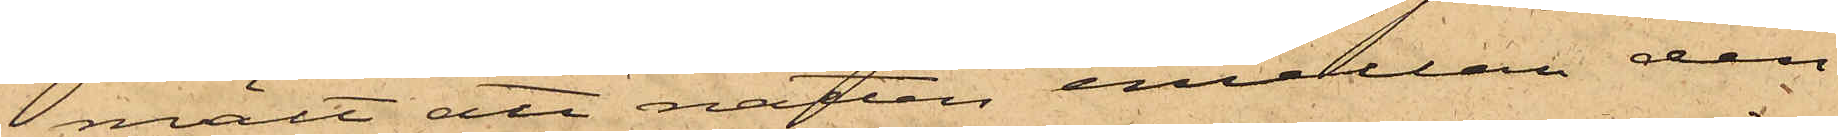mält att natten emellan den
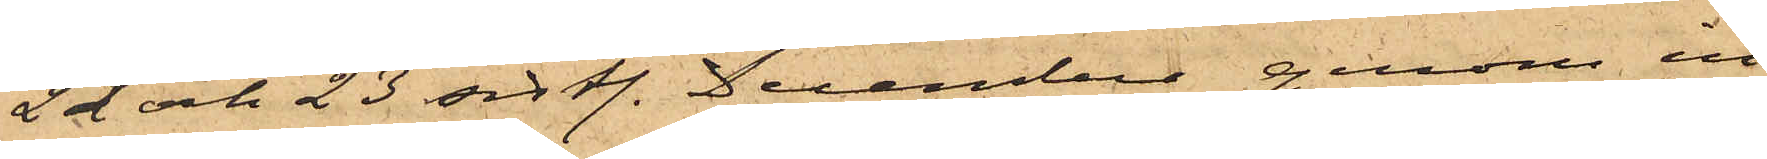22 och 23 sistl. December genom in¬
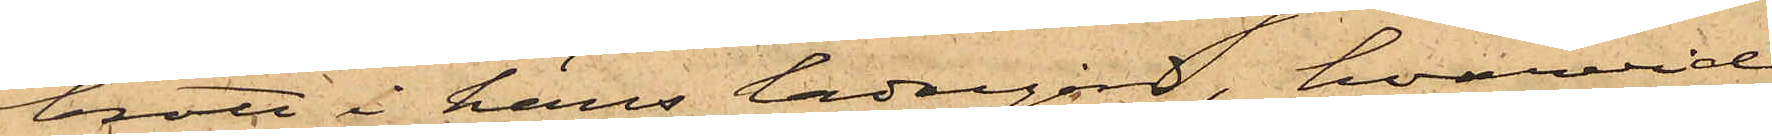brott i hans ladugård, hvarvid
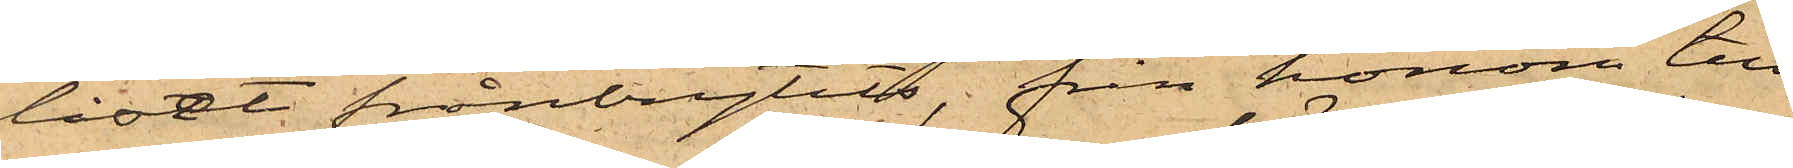låset frånbrytits, från honom till¬
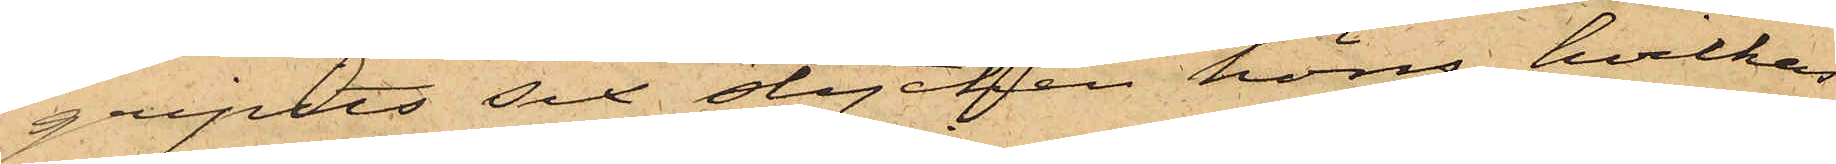gripits sex stycken höns, hvilkas
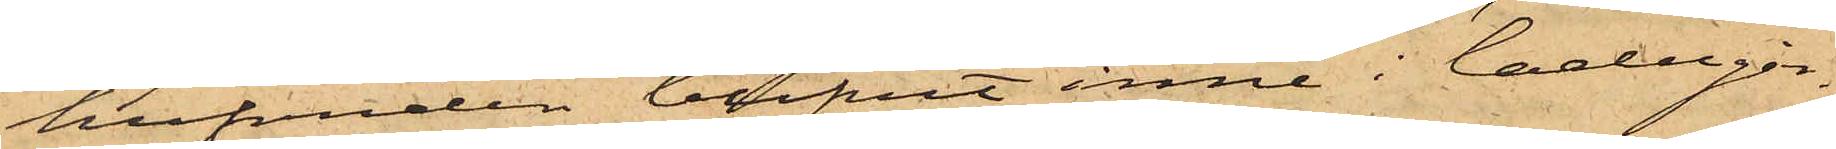hufvuden blifvit inne i ladugår¬
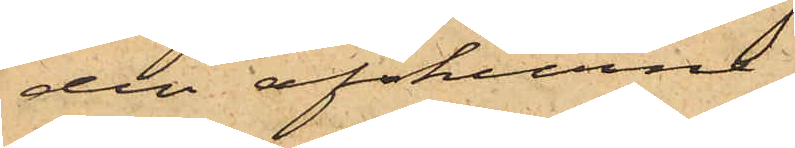den afskurne.
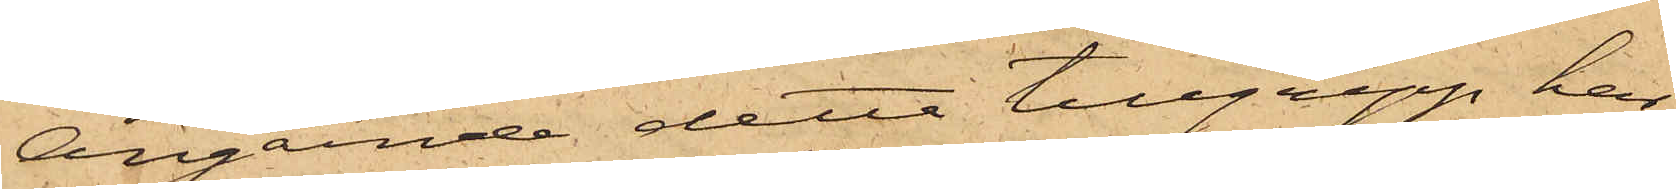Angående detta tillgrepp har
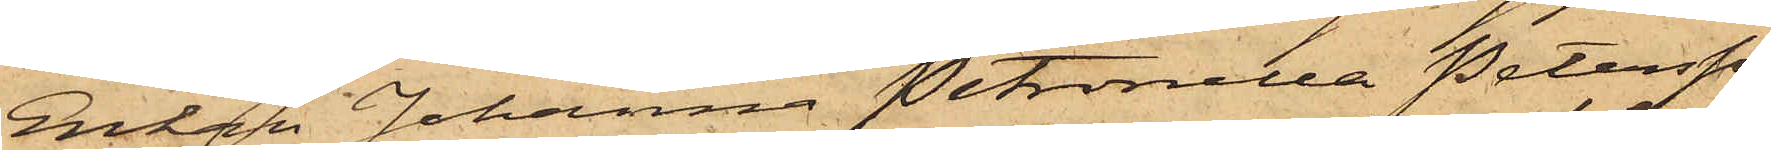Enkan Johanna Petronella Petersson
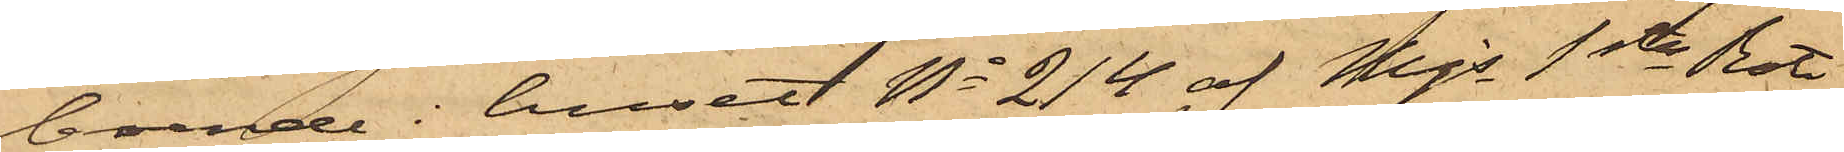boende i huset No 214 af Mjs 1sta Rote,
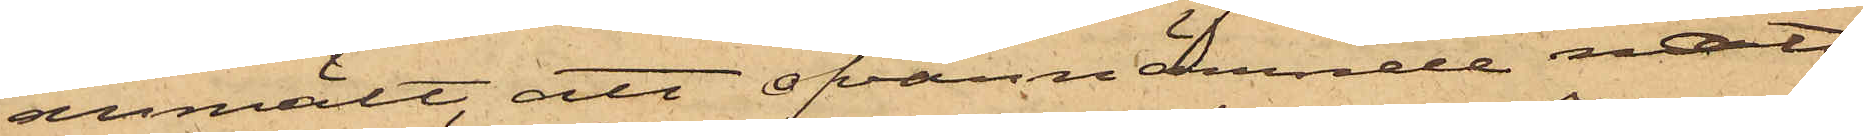anmält, att ofvannämnde natt
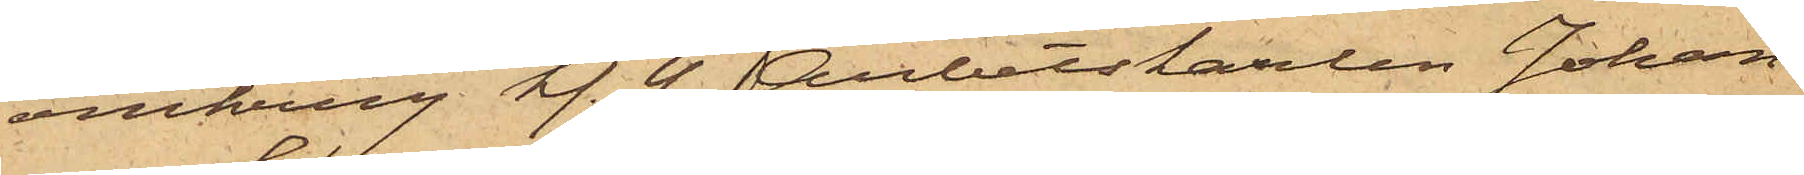omkring kl. 4 Arbetskarlen Johan¬
